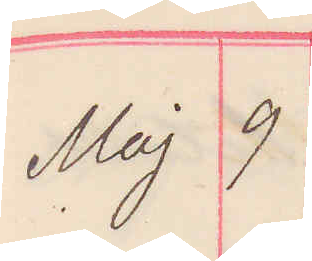Maj 9
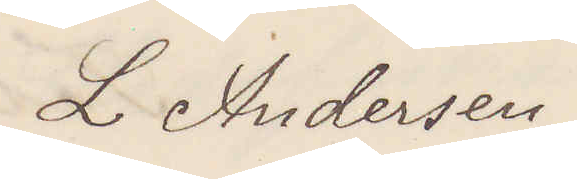L Andersson
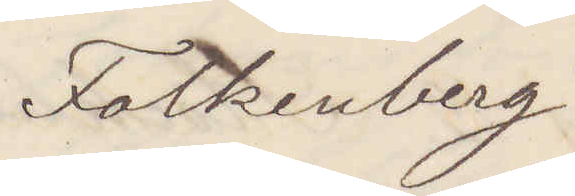Falkenberg
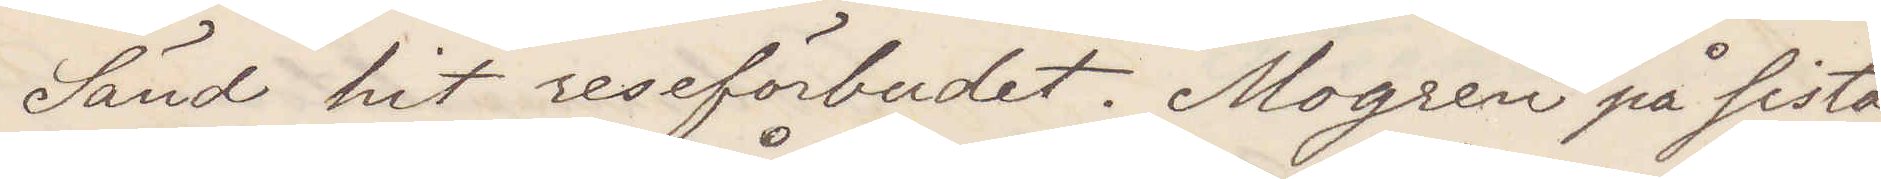Sänd hit reseförbudet. Mogren på sista
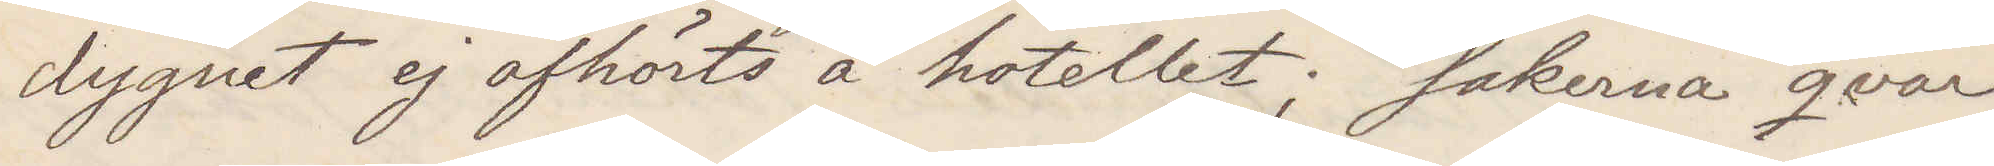dygnet ej afhörts å hotellet; Sakerna qvar
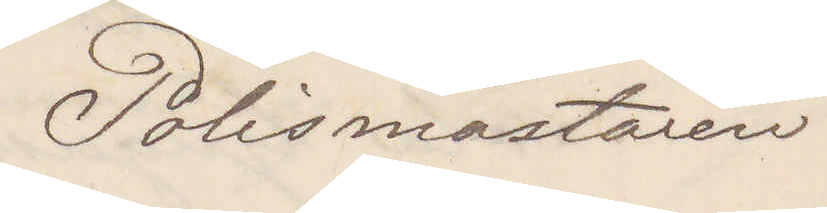Polismästaren
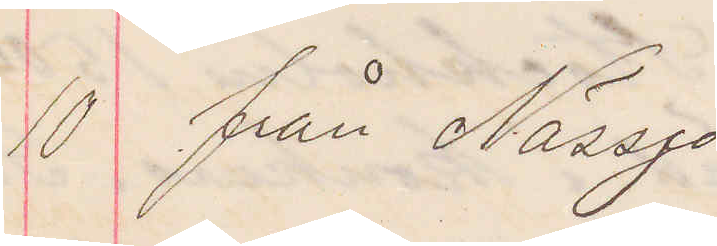10 från Nässjö
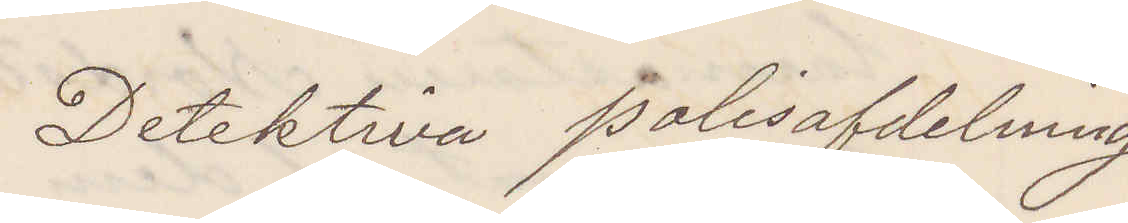Detektiva polisafdelning
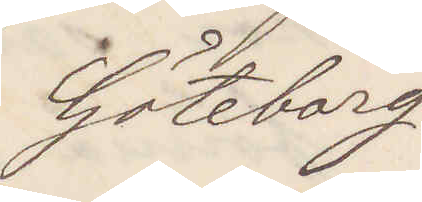Göteborg
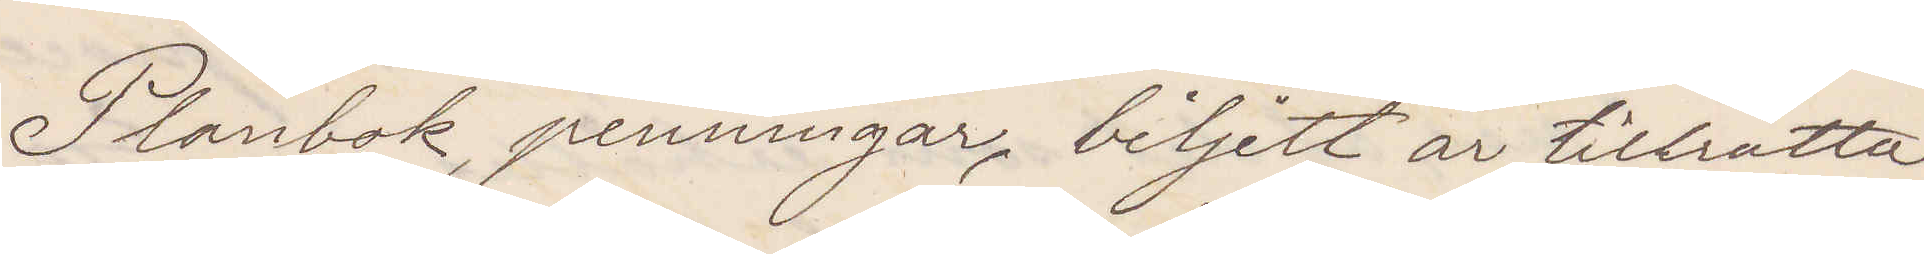Plånbok, penningar, biljett är tillrätta¬
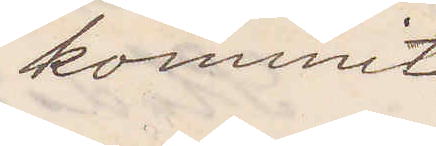kommit
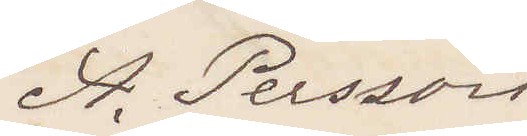A. Persson
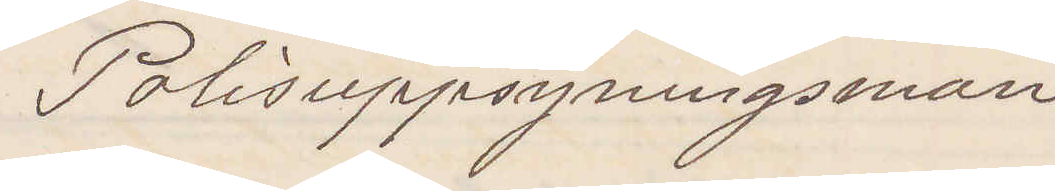Polisuppsyningsman
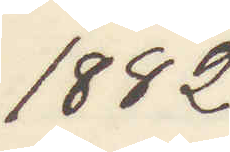1882
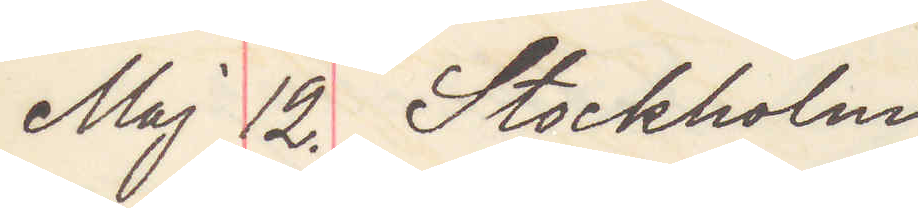Maj 12. Stockholm
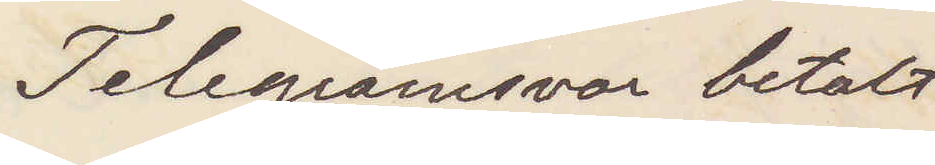Telegramsvar betalt
